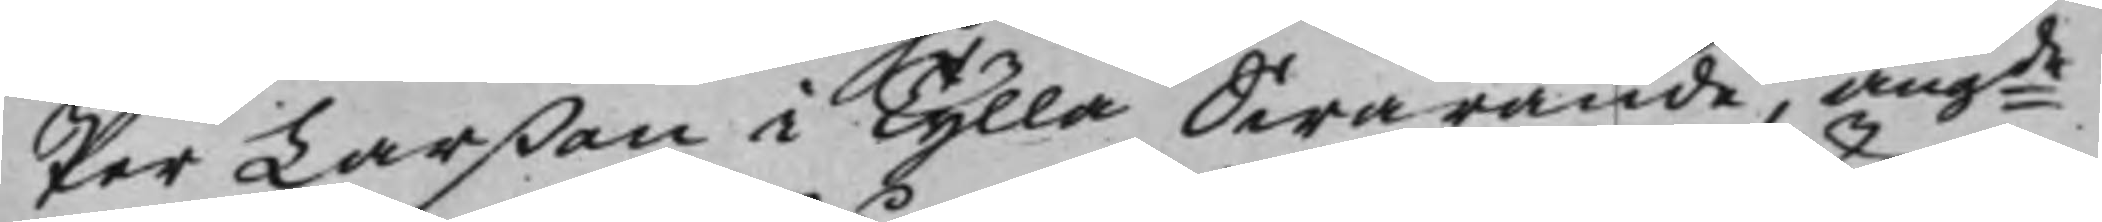Per Larßon i Tylla Swarande, angde
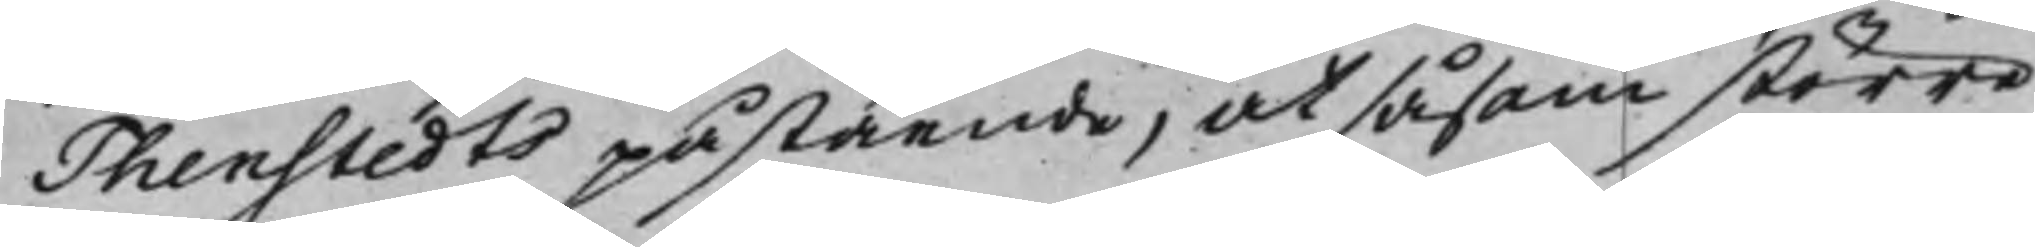Thenstedts påstående, at såsom större
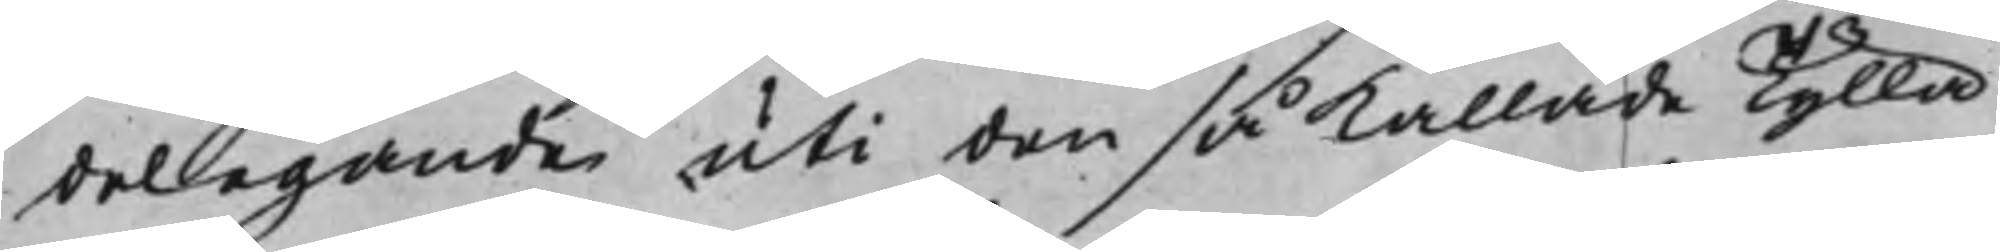delegande uti den så kallade Tylla
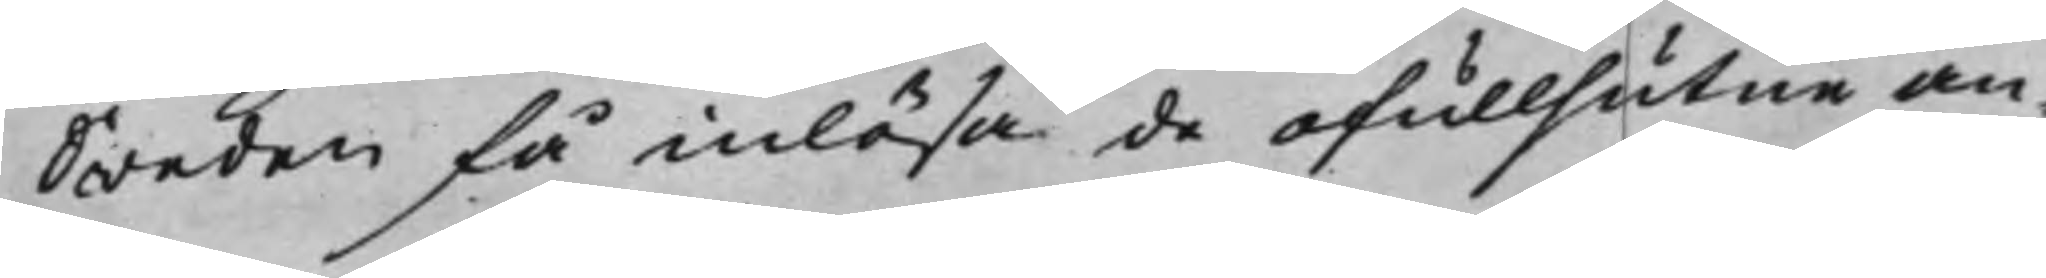Sweden få inlösa de ofullsutne an¬
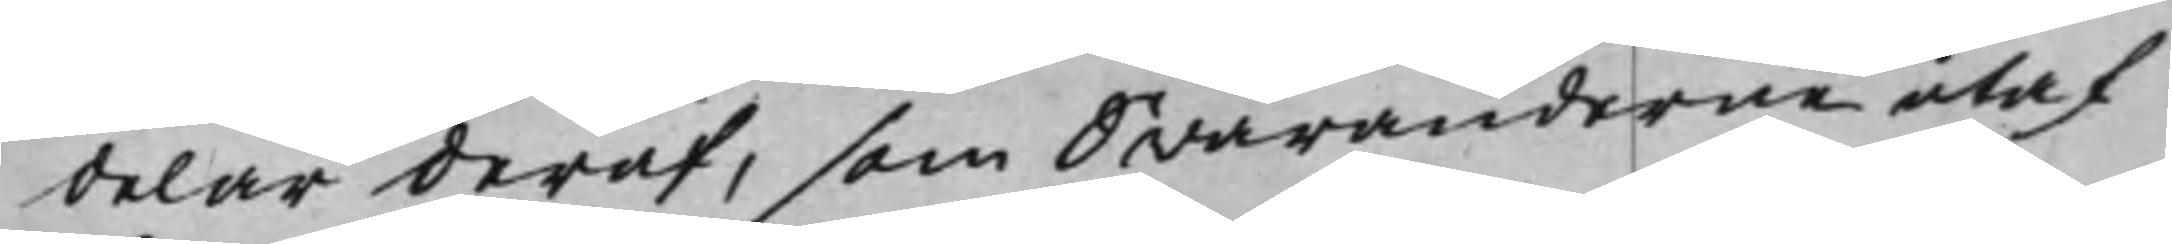delar deraf, som Swaranderne utaf
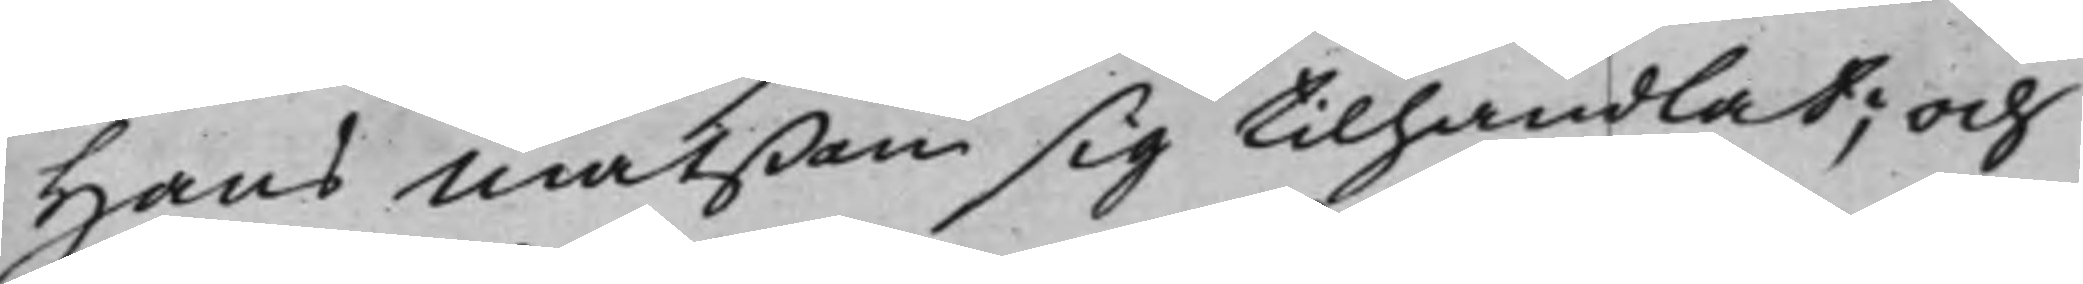Hans Matßon sig tilhandlat; och
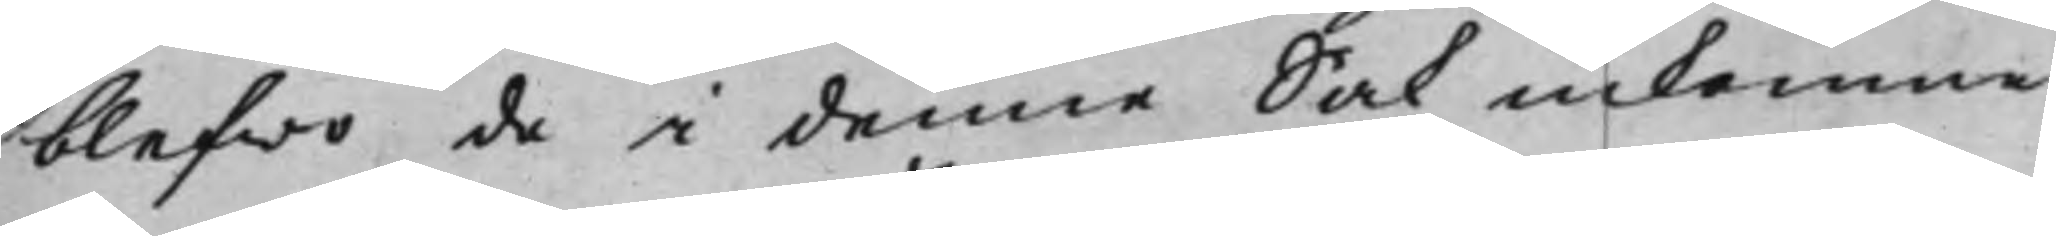blefwo de i denna Sak inkomne
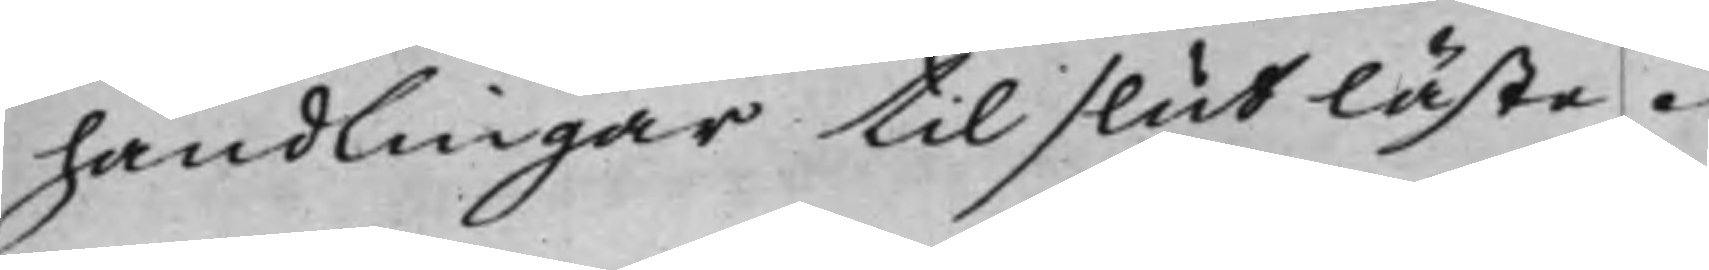handlingar til slut läste.
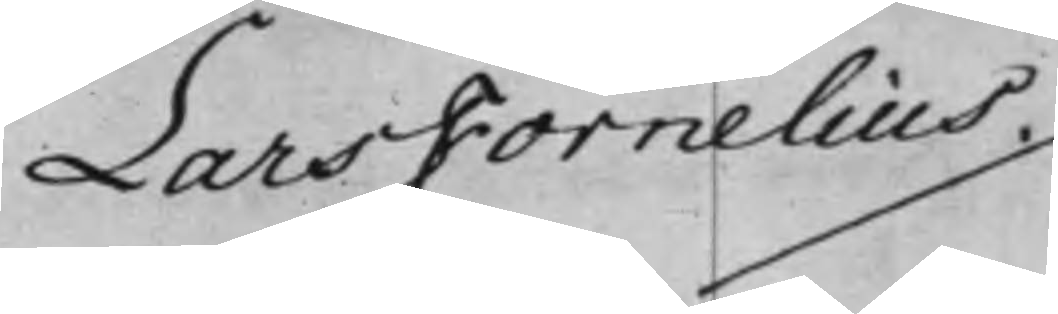Lars Fornelius ./.
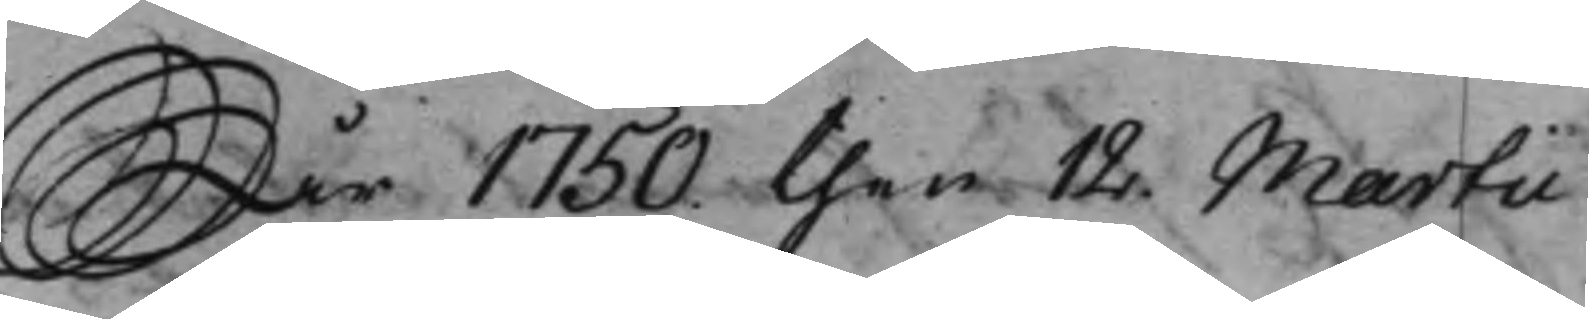År 1750 then 12. Martii
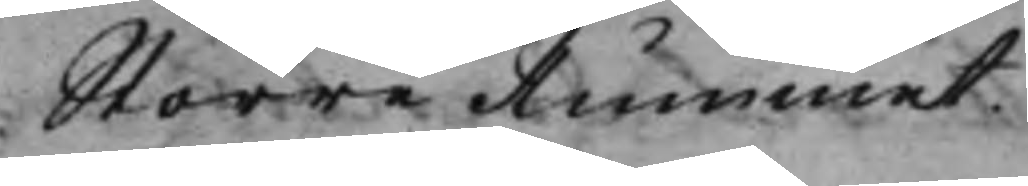Större Rummet.
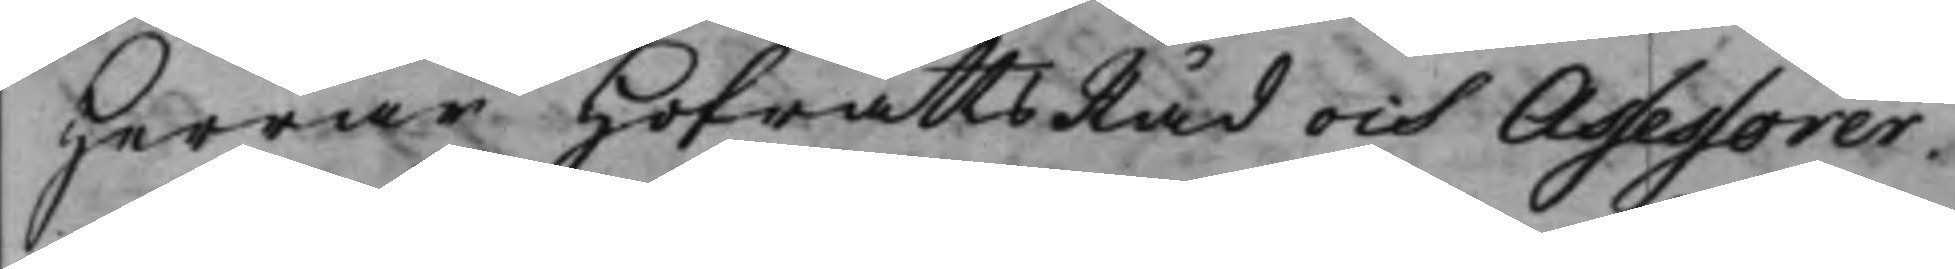Herrar HofrättsRåd och Assessorer.
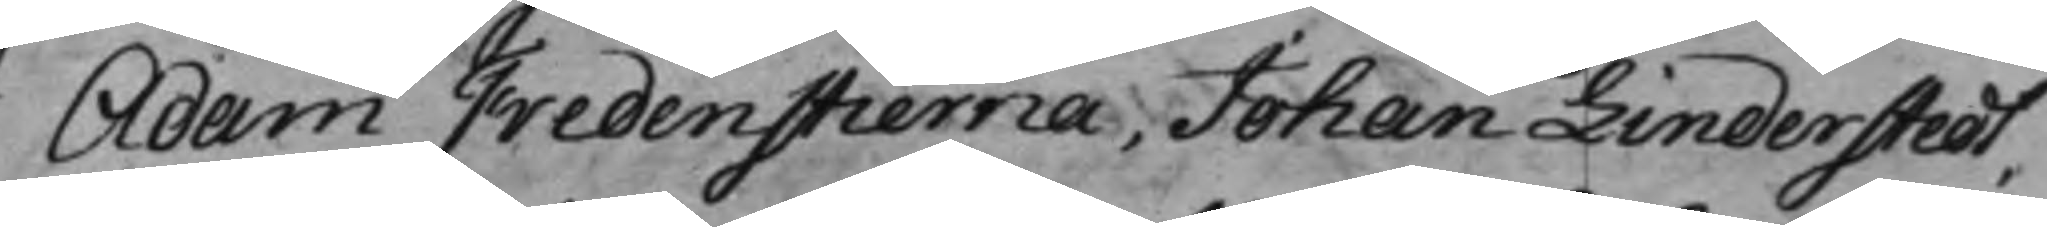Adam Fredenstierna, Johan Linderstedt,
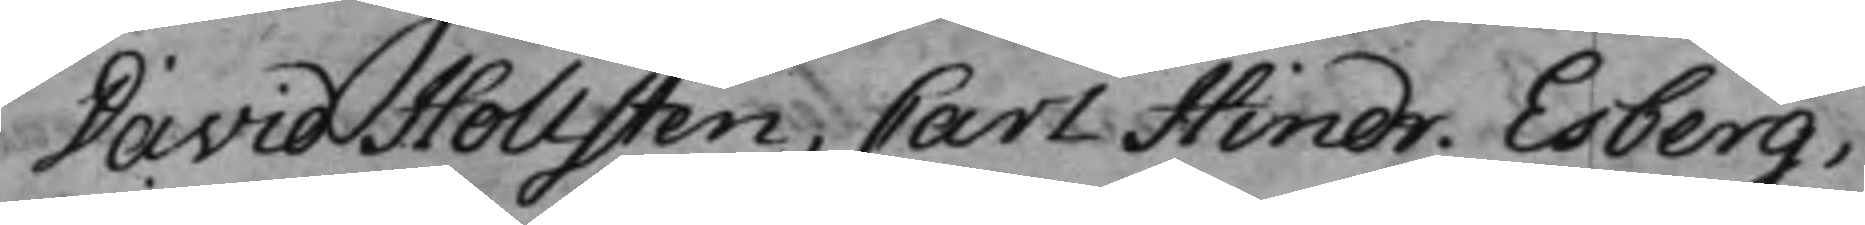David Hollsten, Carl Hindr. Esberg,
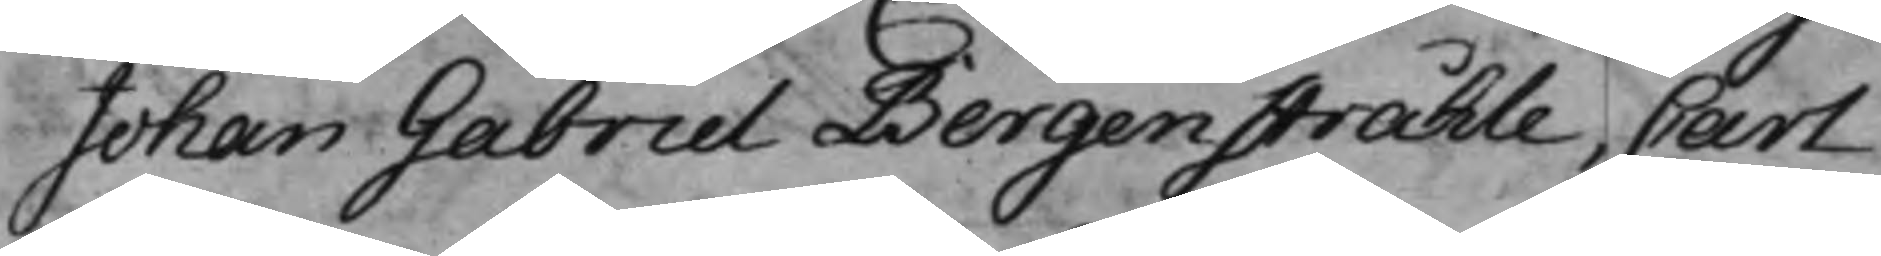Johan Gabriel Bergenstråhle, Carl
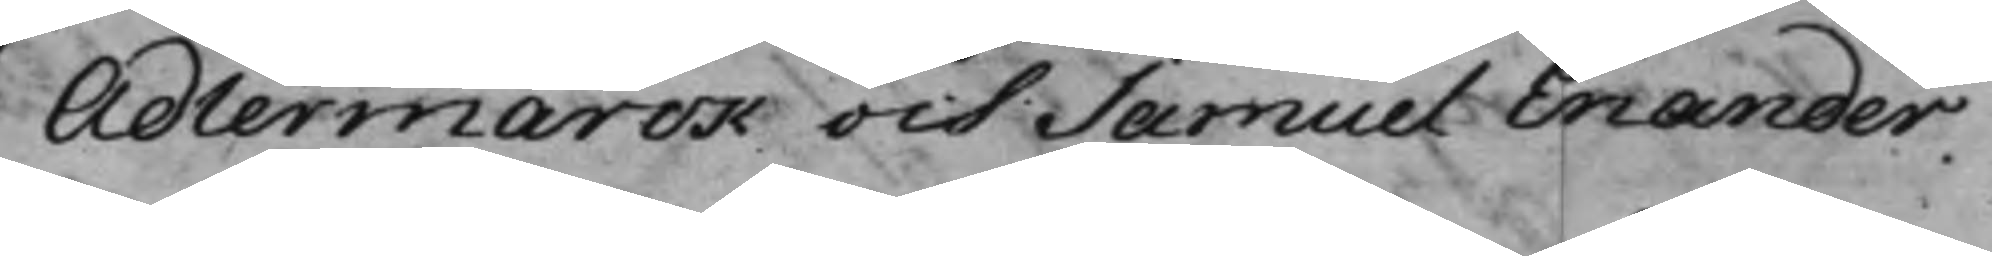Adlermarck och Samuel Enander.
